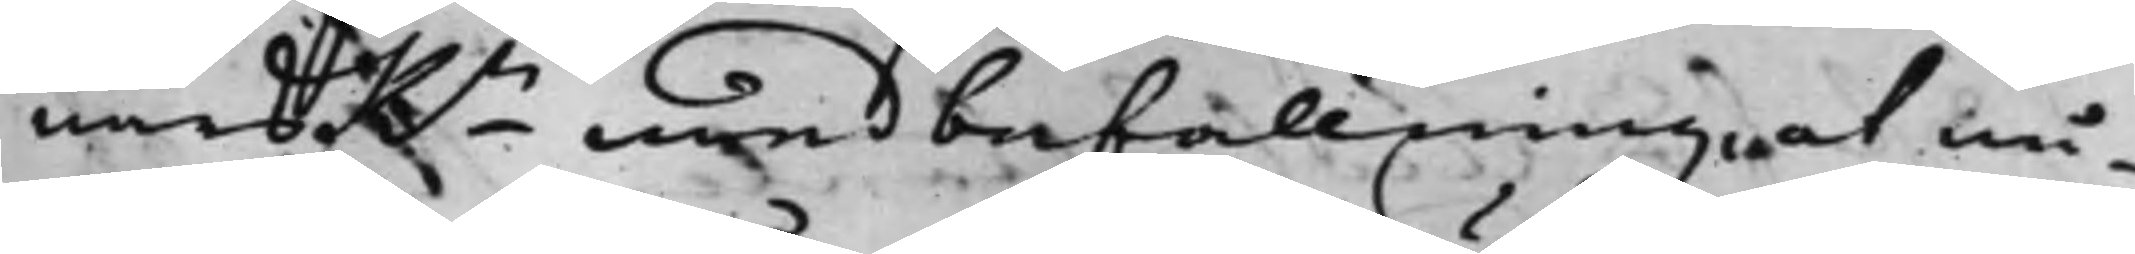närsRn med befallning, at nå¬
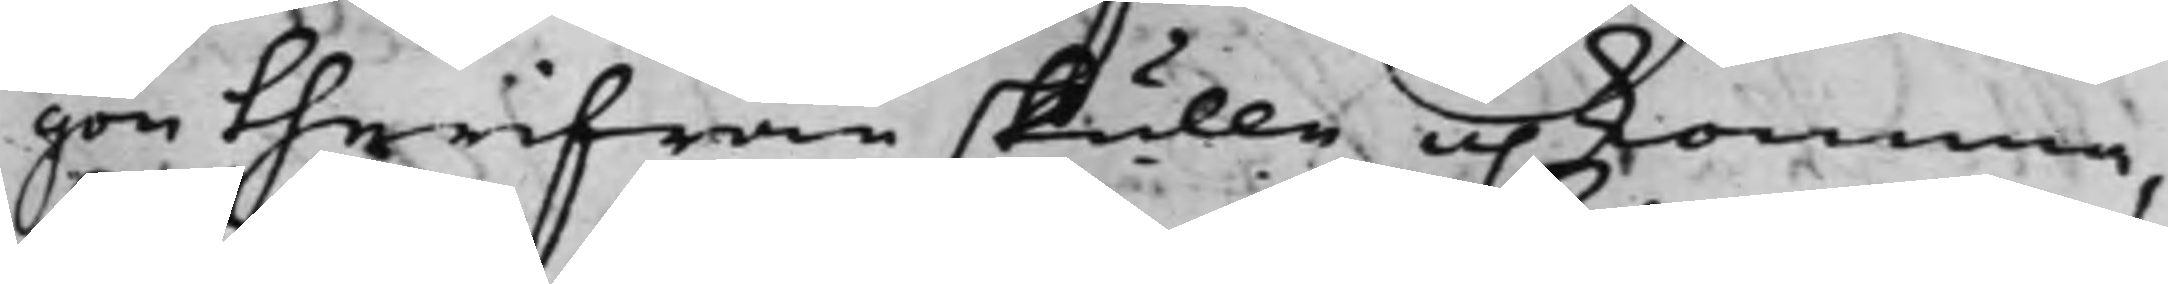gon therifrån skulle upkomma,
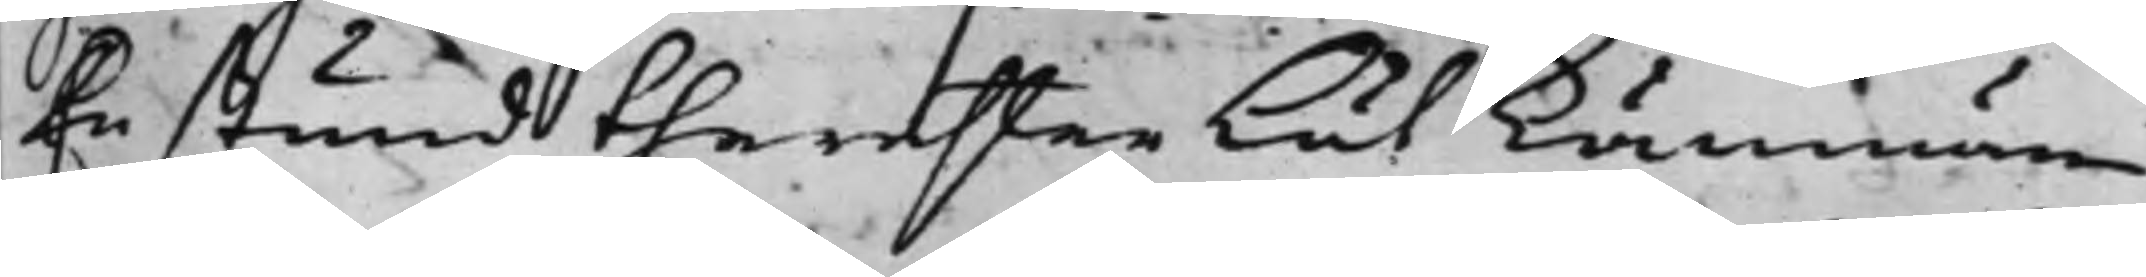En stund therefter lät Kämnären
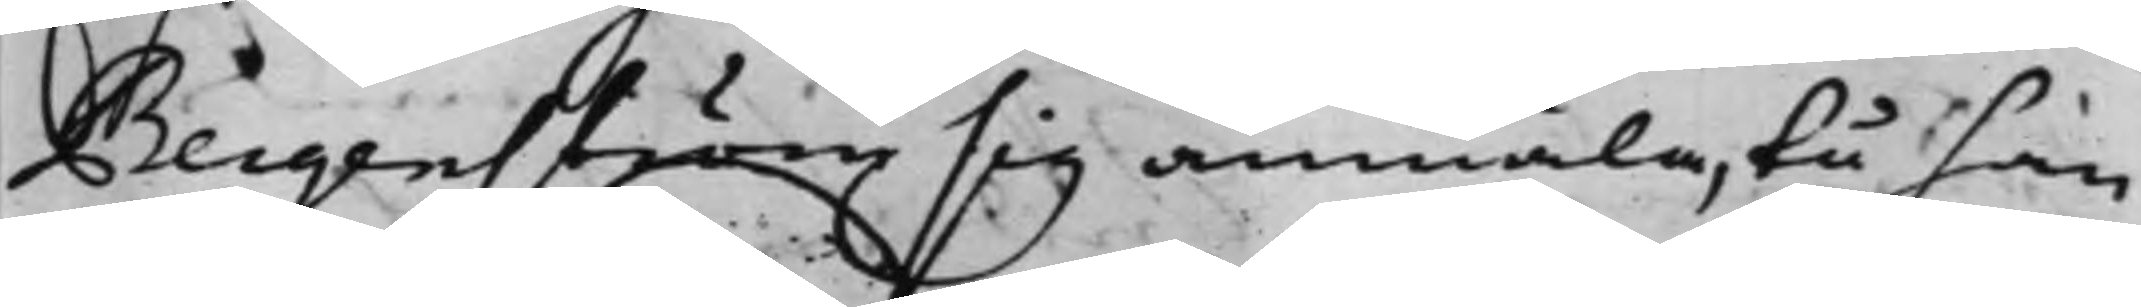Bergenström sig anmäla, tå han
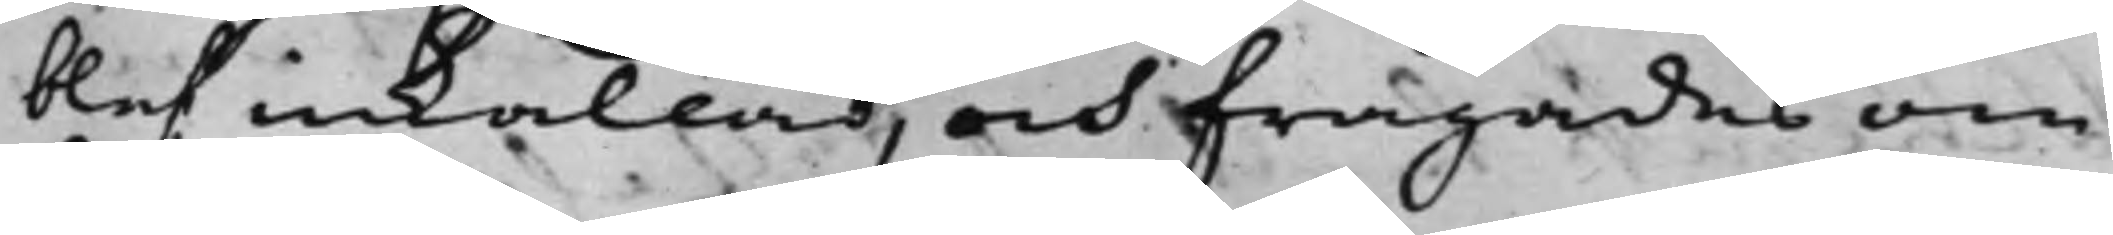blef inkallad, och frågades om
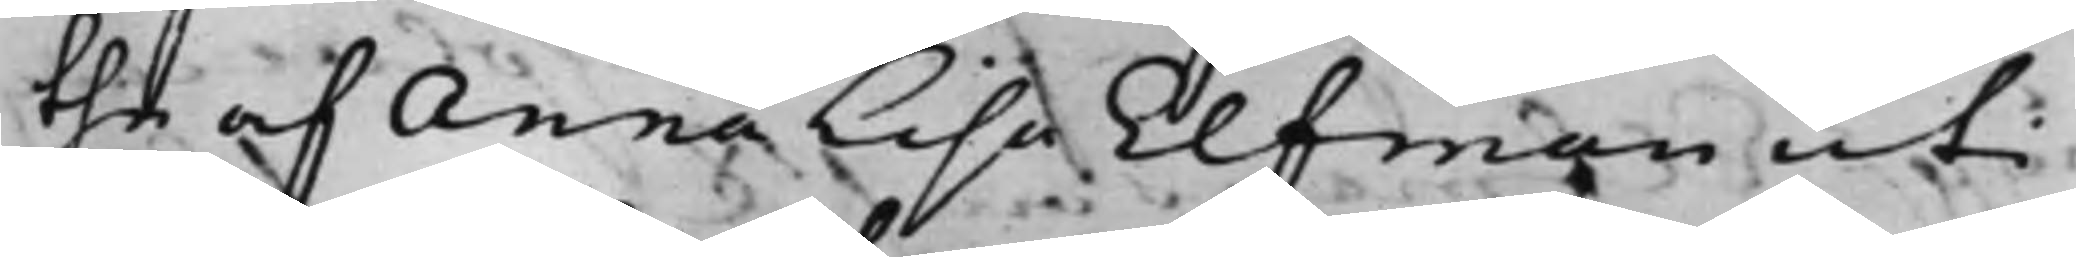the af Anna Lisa Elfman uti
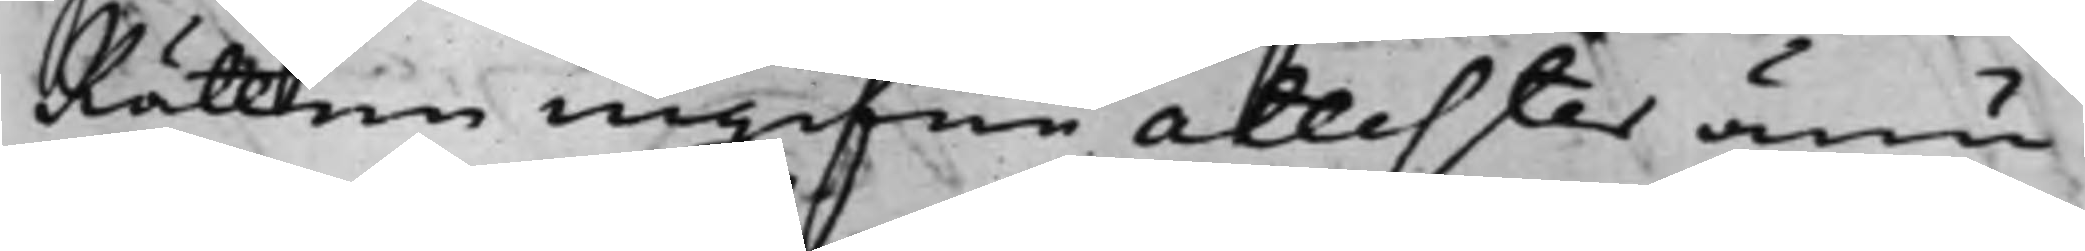Rätten ingifne attester ännu
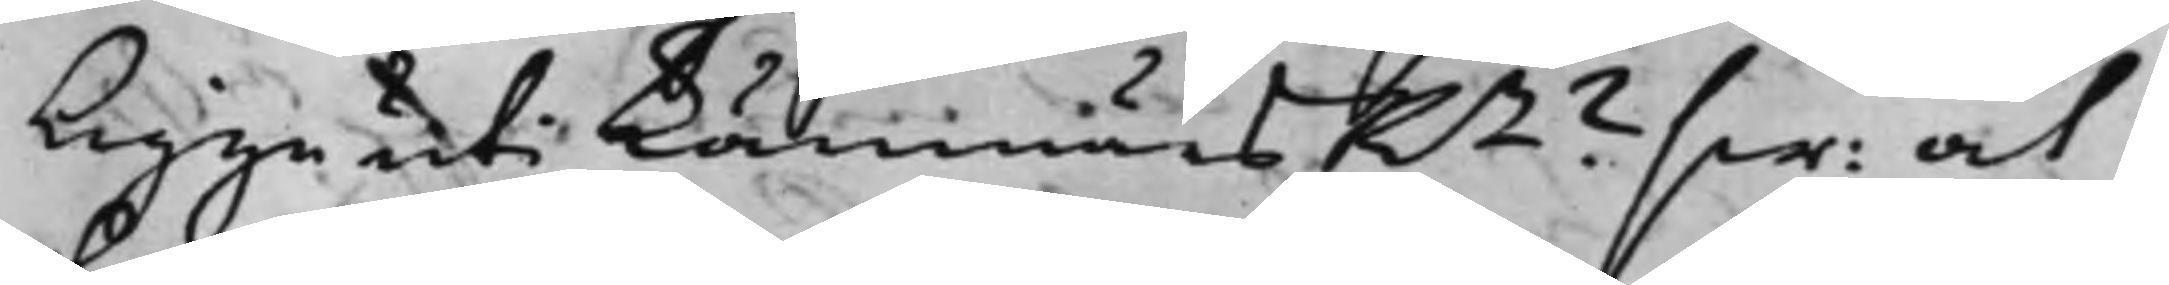ligge uti KämnärsRn? sw: at
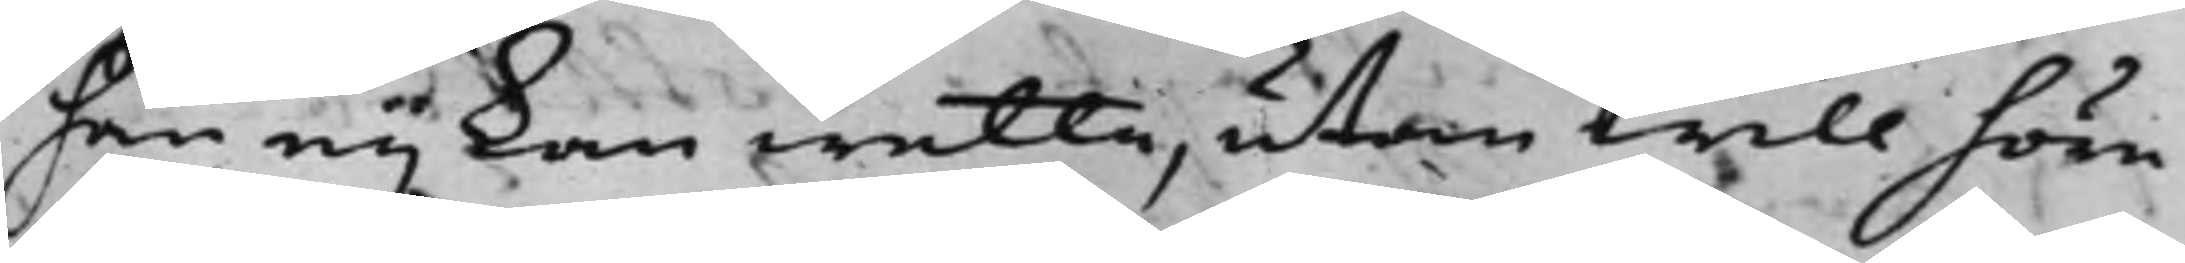han eij kan wetta, utan will höre
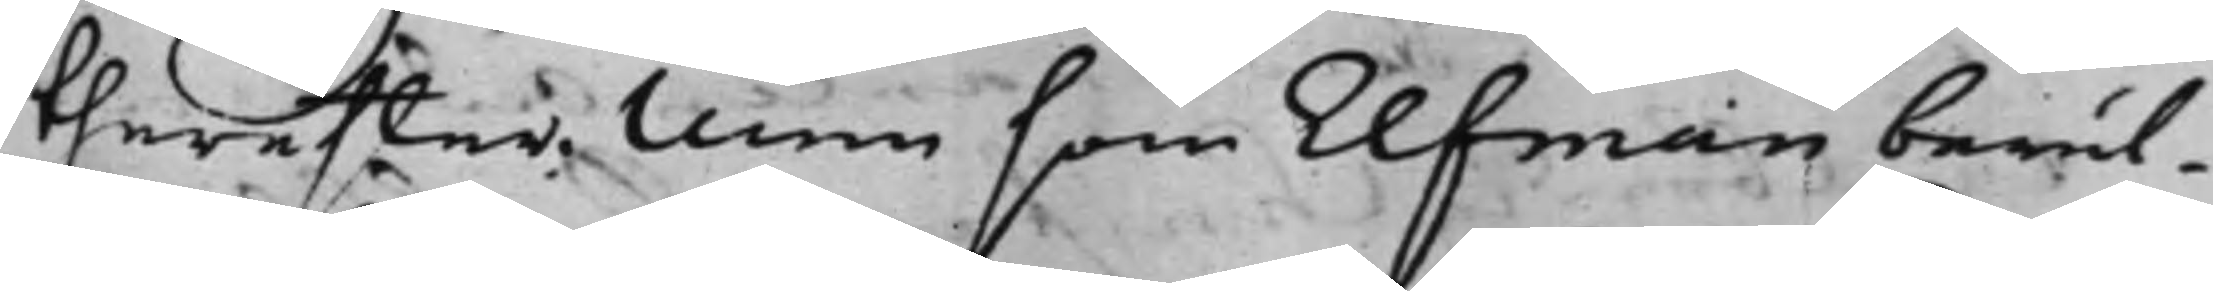thereffter. Men som Elfman berät¬
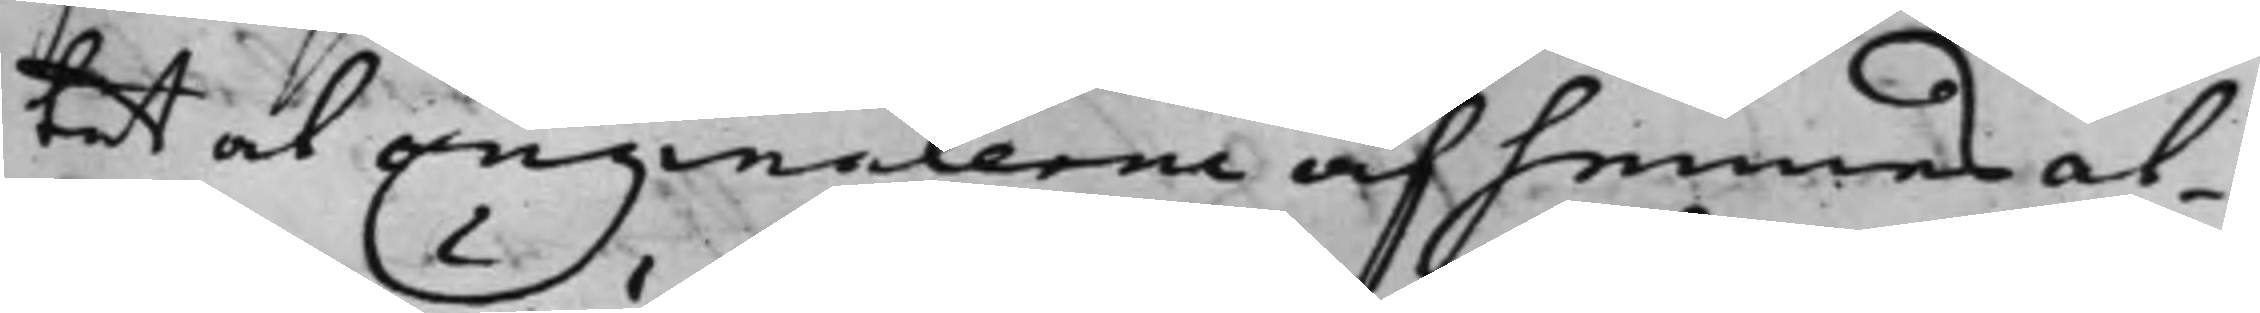tat at originalerne af hennes at¬
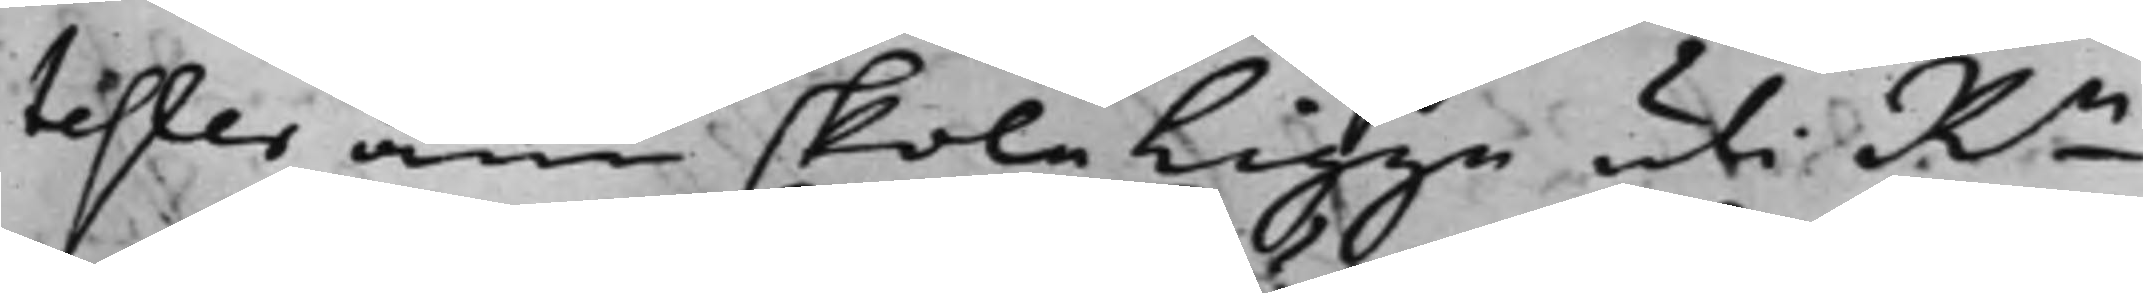tester ännu skola ligga uti Rn
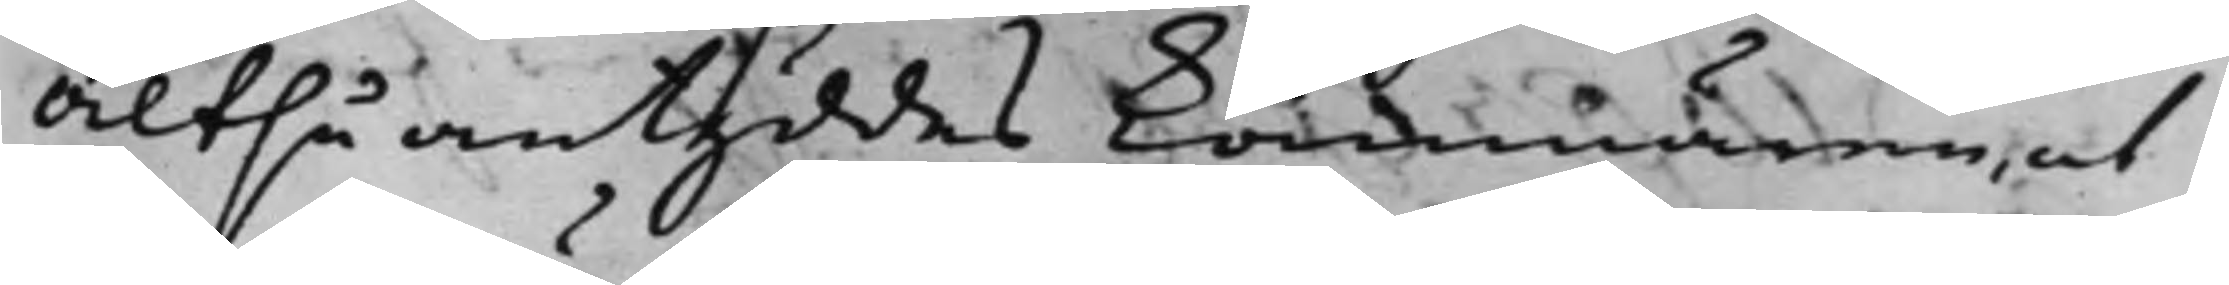Altså antyddes Kämnären, at
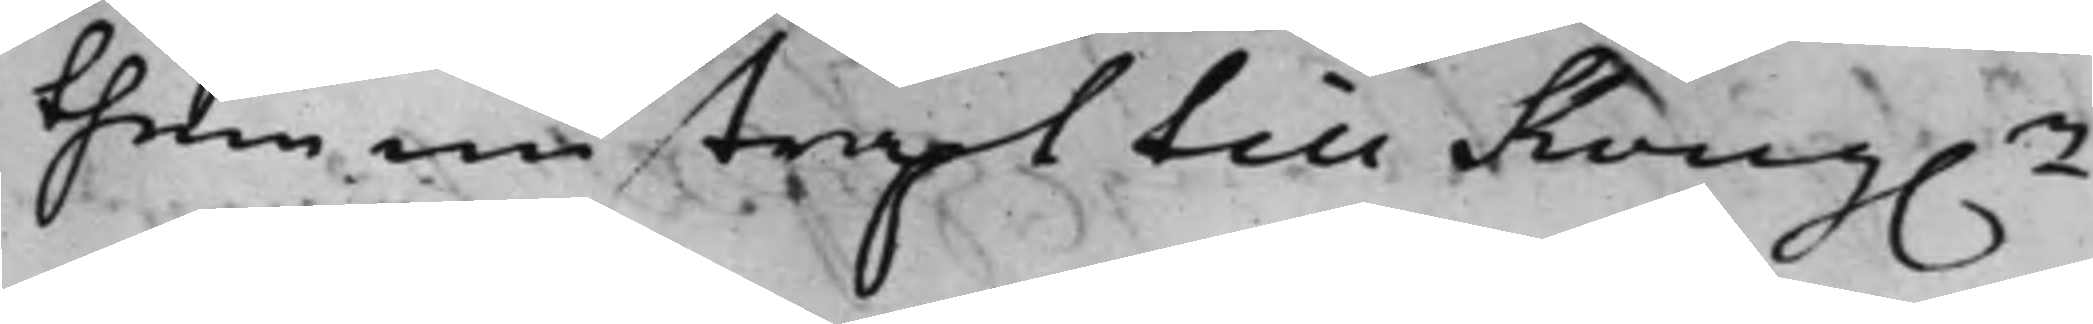them nu straxt till Kong.e
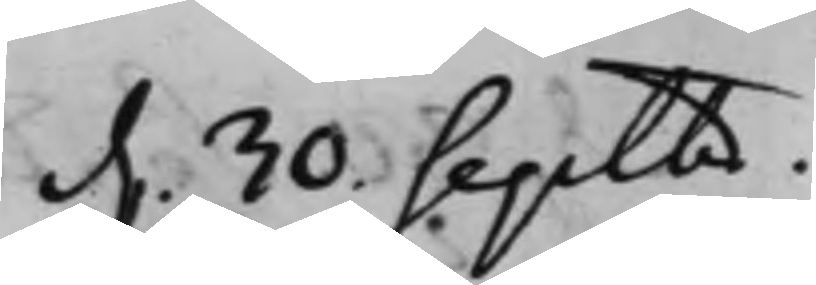d. 30. Septbr.
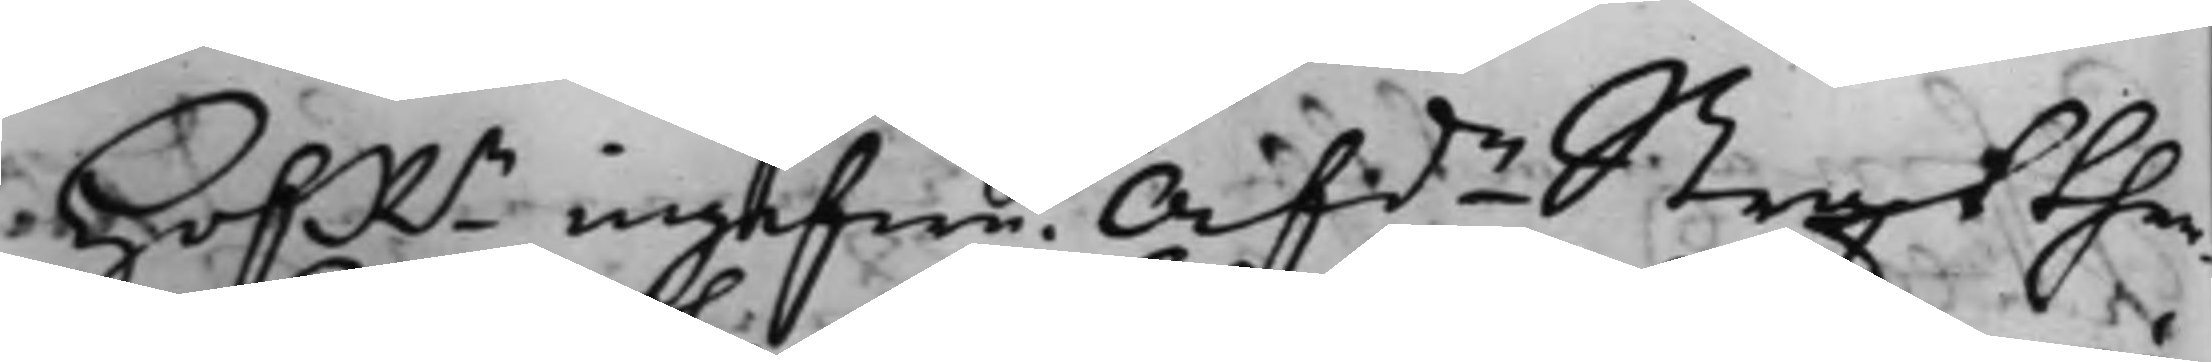HofRn ingifwe. Afde Straxt ther¬
